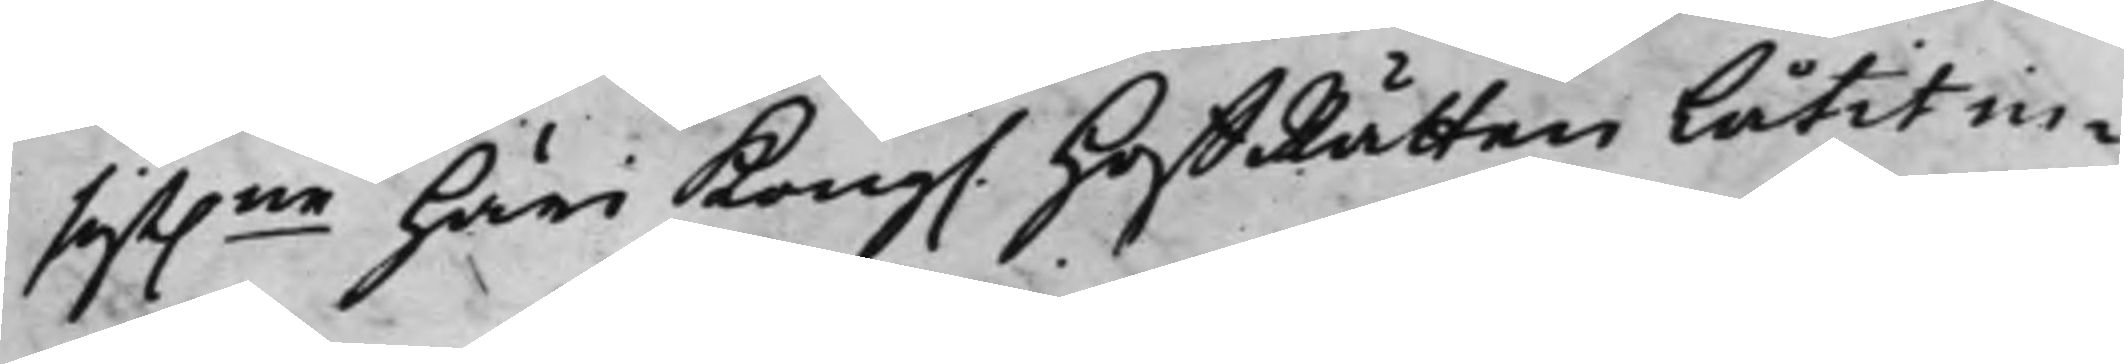sist.ne häri Kong. HoffRätten låtit in¬
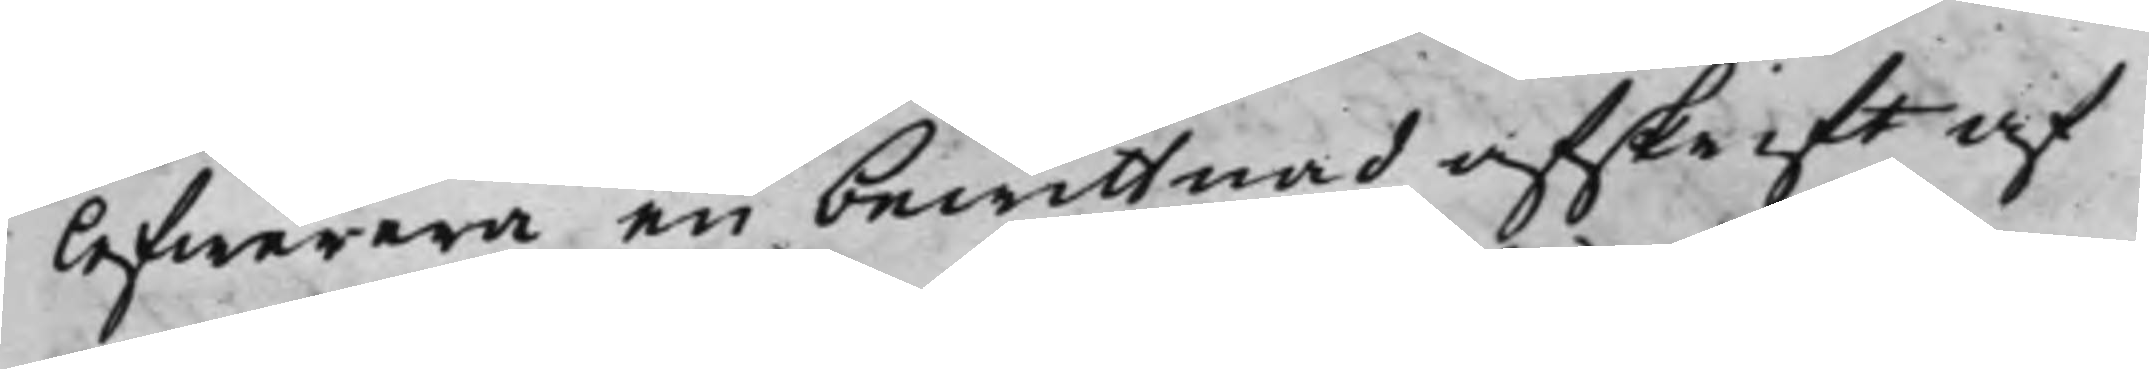lefwerera en bewittnad afskrift af
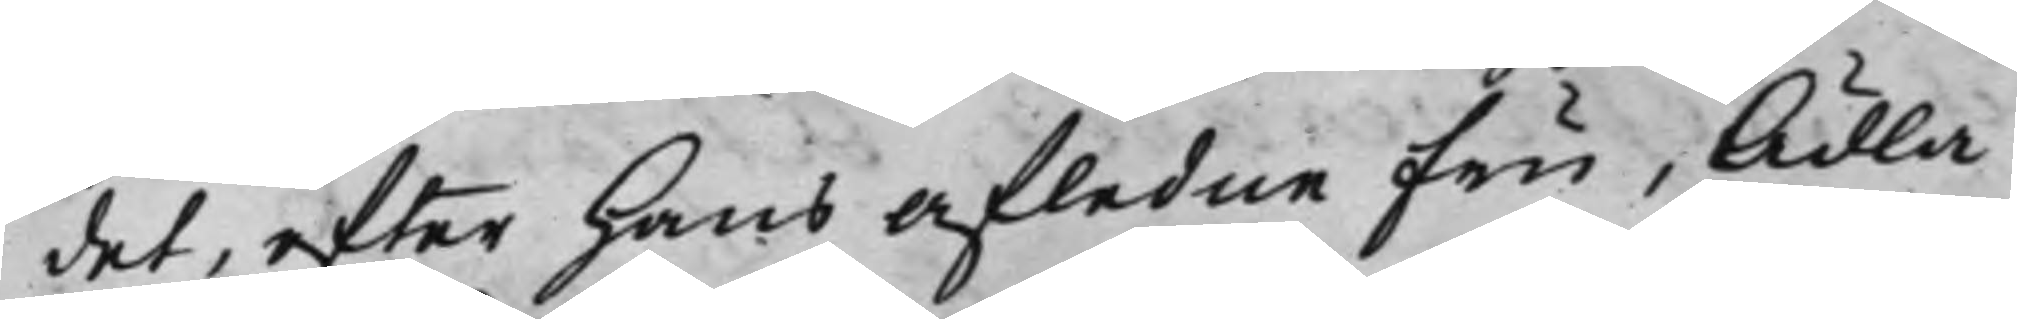det, efter hans afledne Fru, Ädla
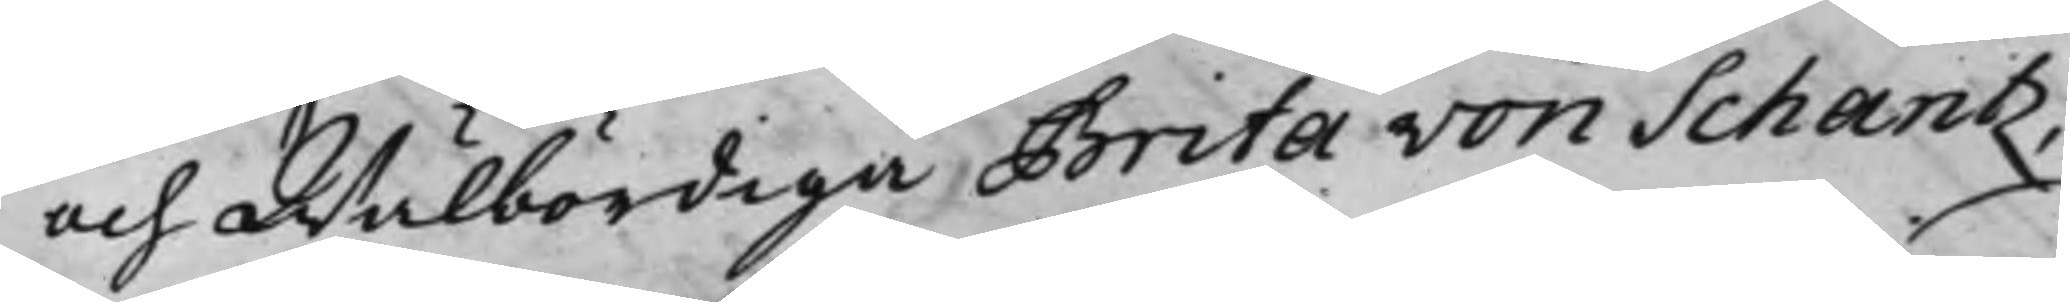och Wälbördiga Brita von Schantz,
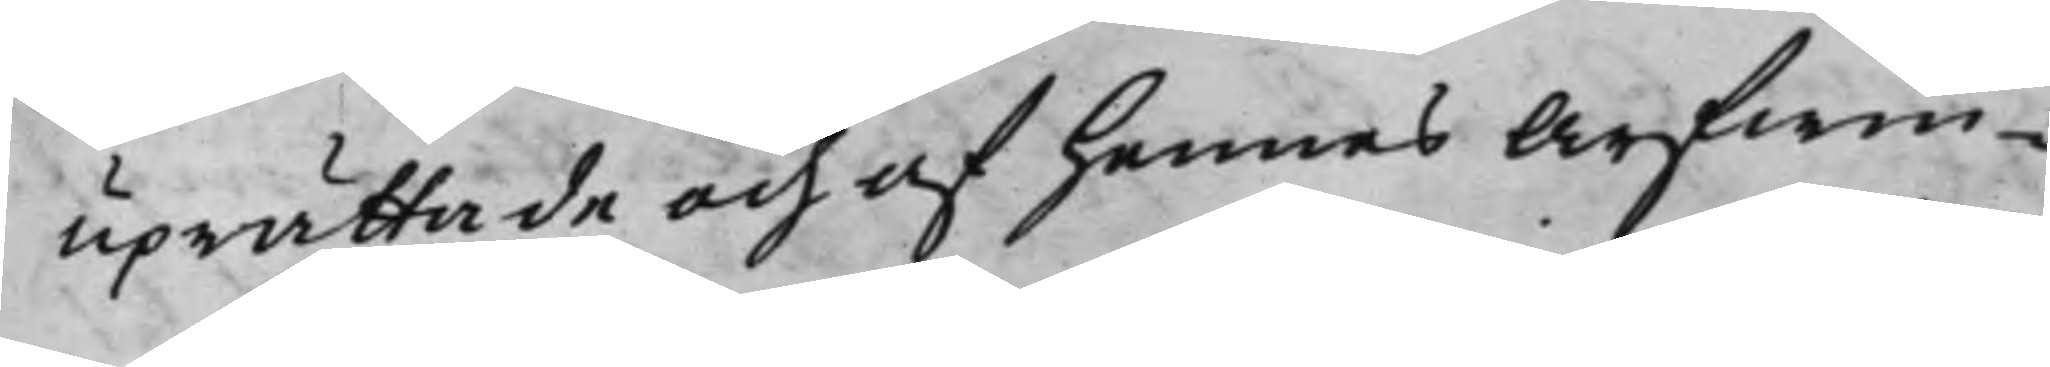uprättade och af hennes Arfwin¬
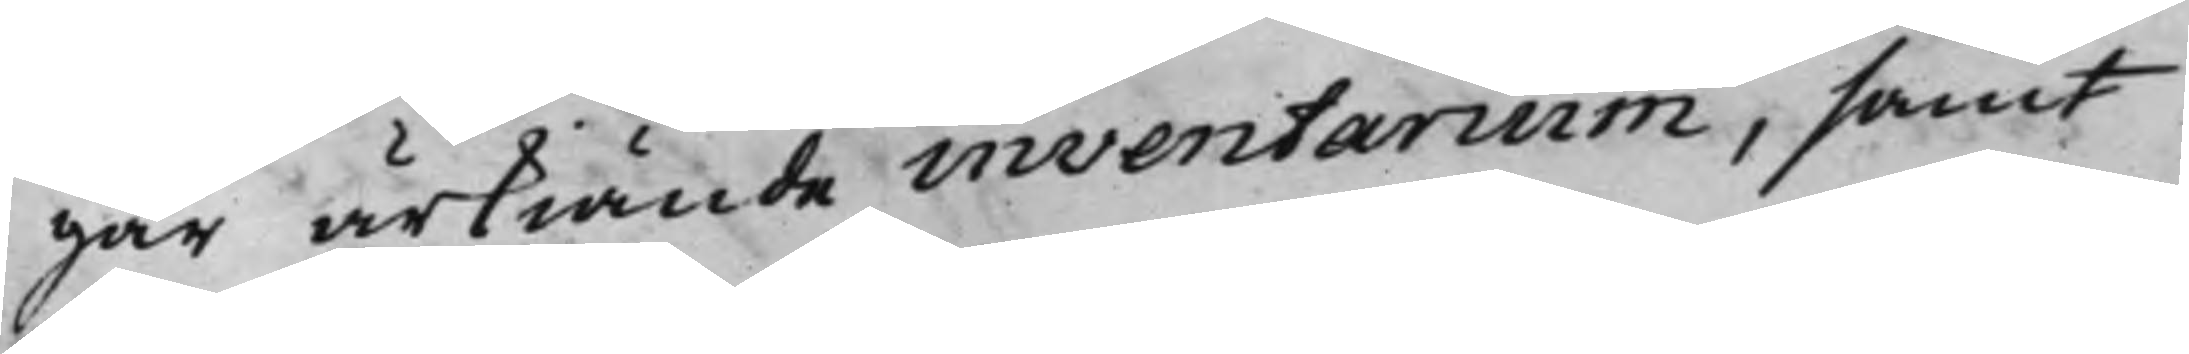gar ärkiände inventarium, samt
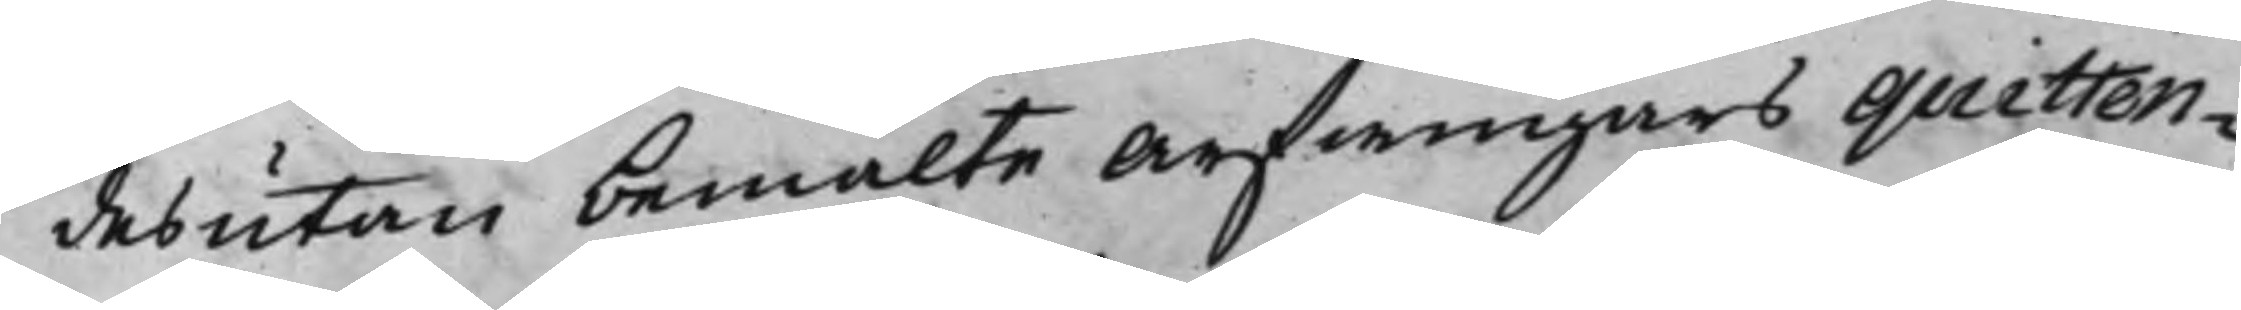desutan bemälte Arfwingars quitten¬
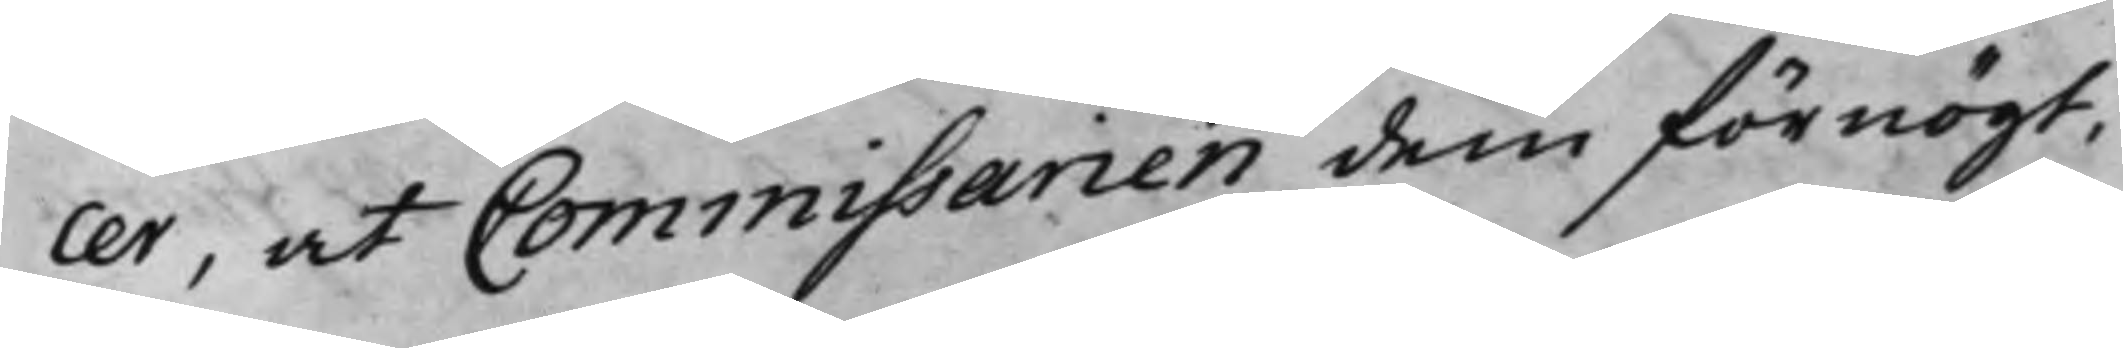cer, at Commissarien dem förnögt,
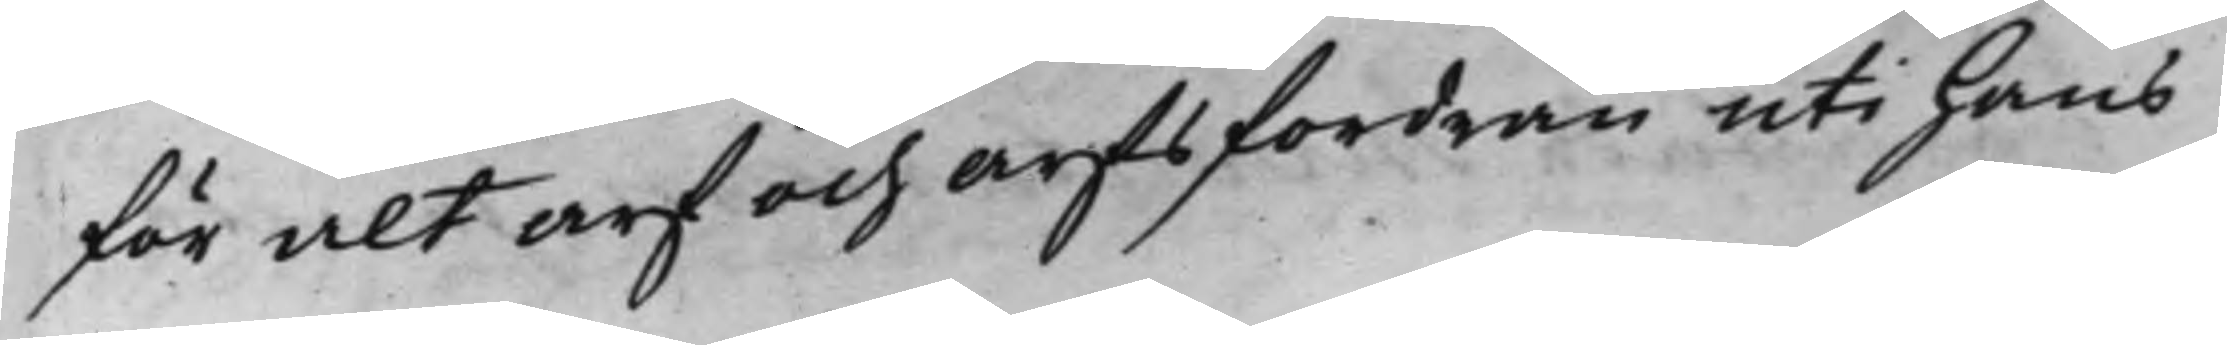för alt arf och arfsfordran uti hans
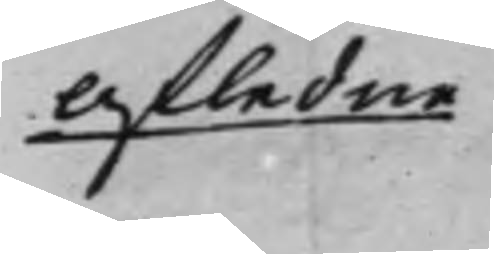Afledne
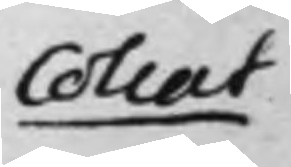Collat
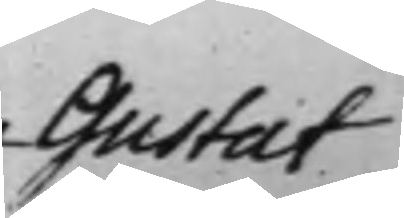Gustaf 
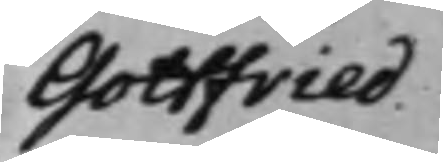Gottfried.
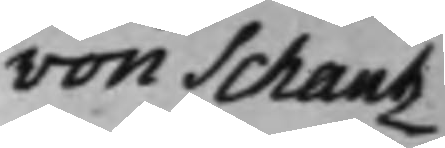von Schantz
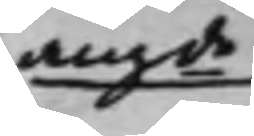angde
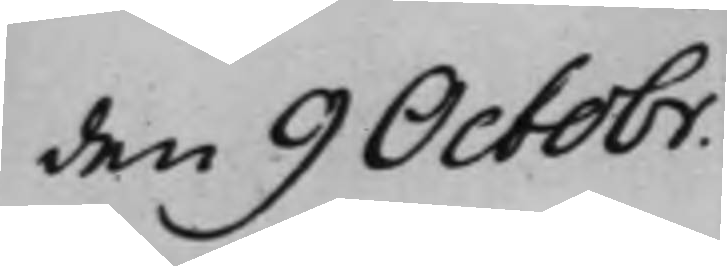den 9 Octobr.
